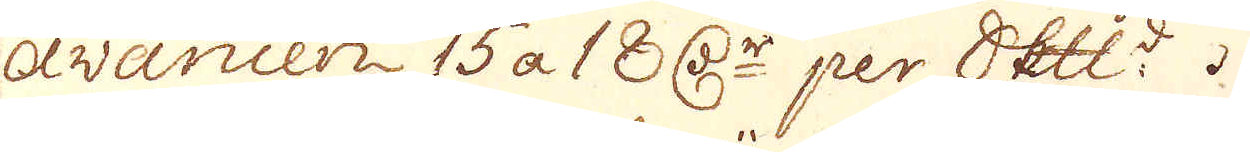avancen 15 a 18 daler per Skepppund.
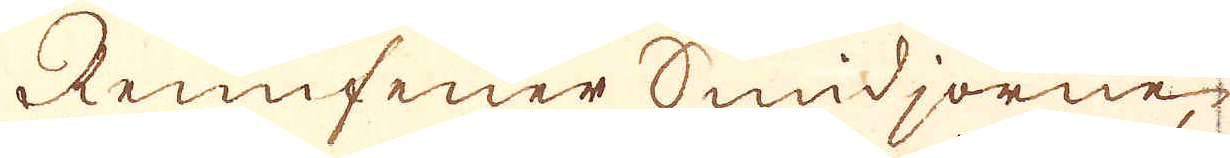Rennfeuer Smidjorne
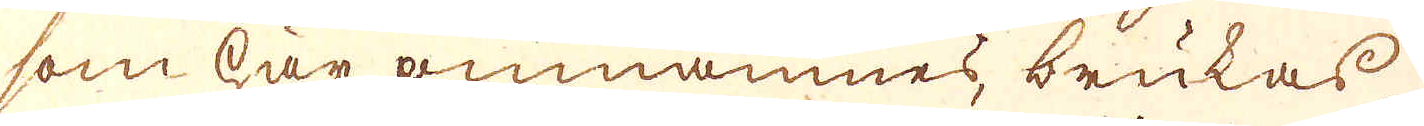som här omnämnes, brukas
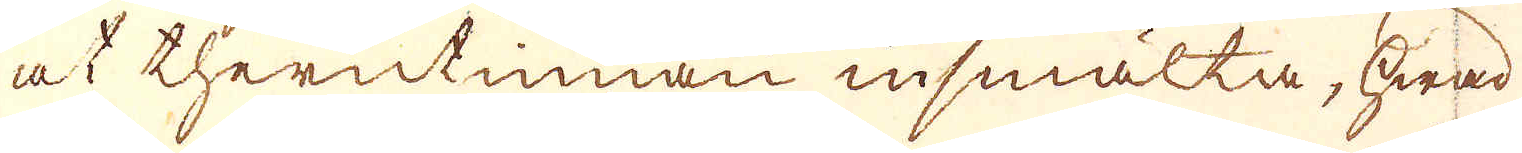at therutinnan insmälta, Hwad
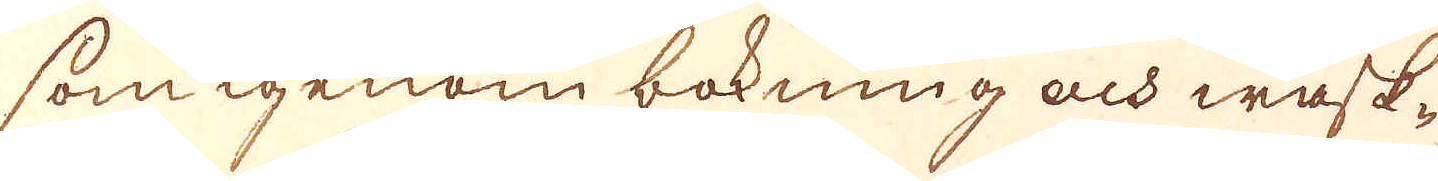som igenom bökning och wask-
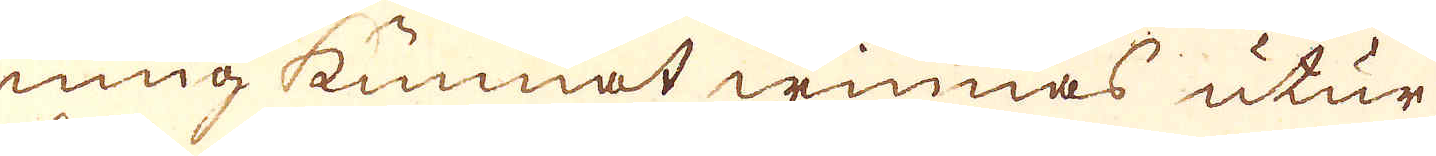ning kunnat winnas utur
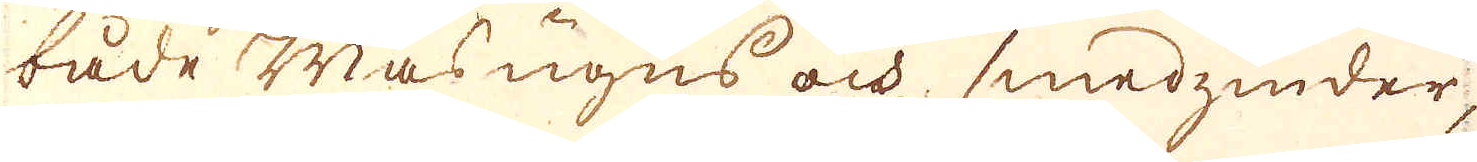både Masungns och smedzinder,
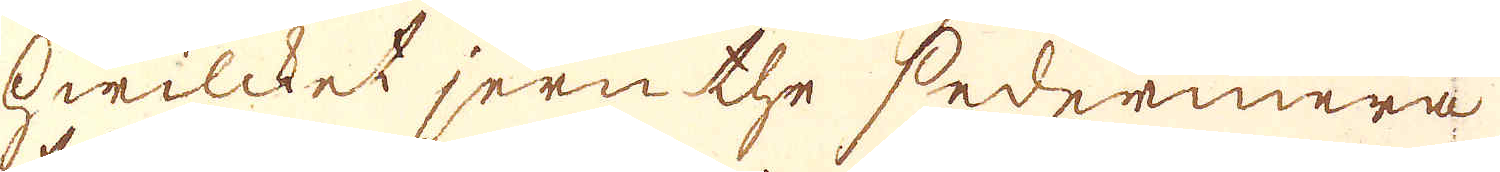hwilcket jern the sedermera
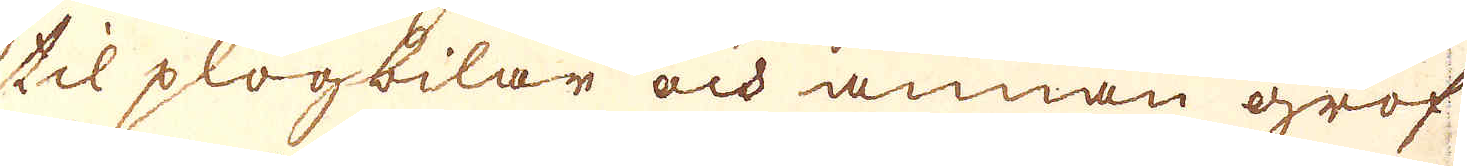til plogbilar och annan grof
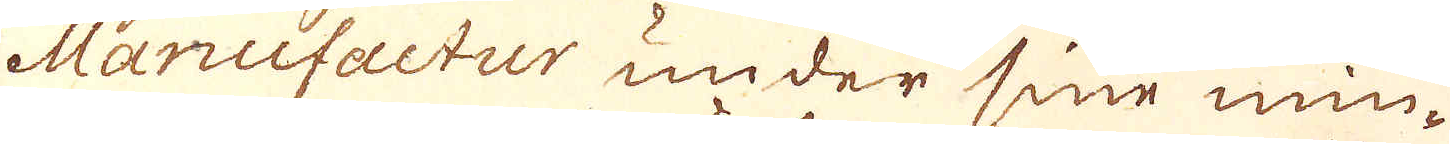Manufactur under sine min-
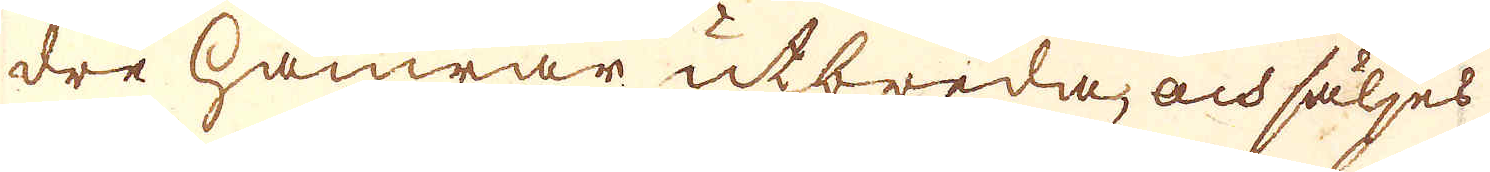dre hamrar utbreda, och säljes
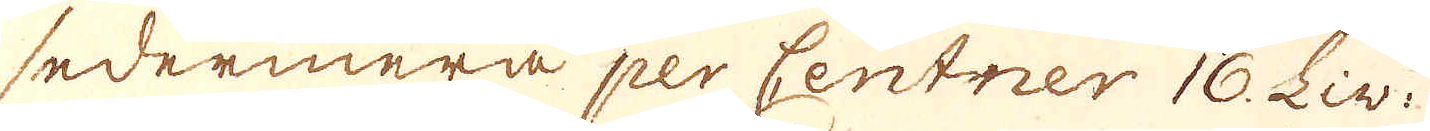sedermera per Centner 16. Liv.
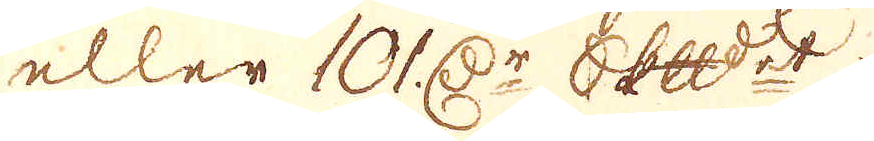eller 101 r:Dr Skepppund:t.
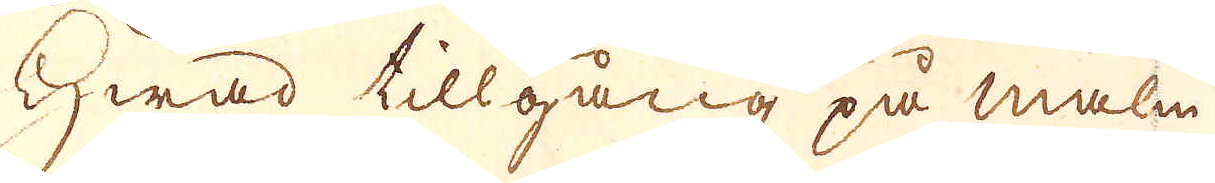Hwad tillgång på malm
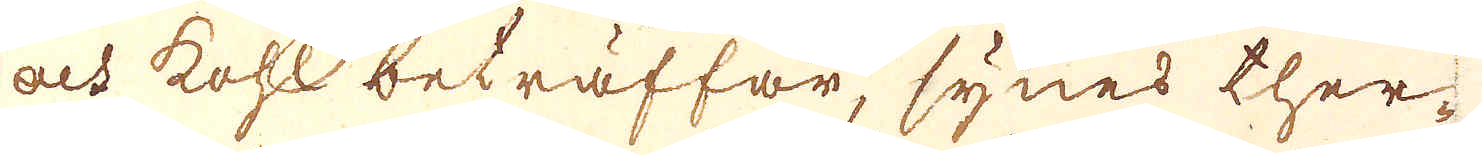och kohl beträffar, synes ther-
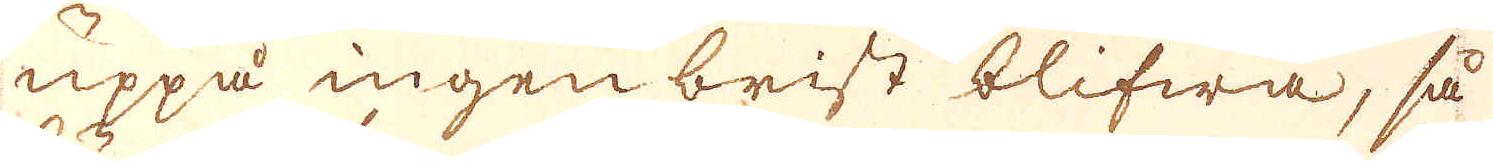uppå ingen brist blifwa, så
